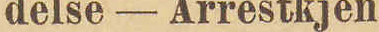delse - Arrestkjen¬
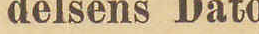delsens Dato
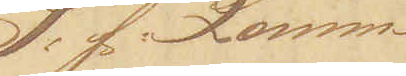S: f: Lomme¬
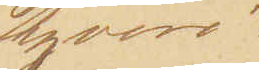tyveri.
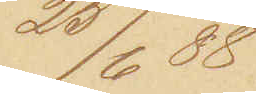25/6 88
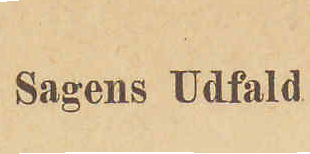Sagens Udfald
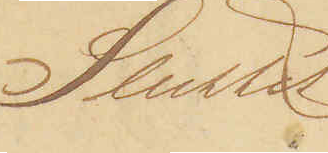Sluttet
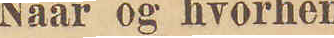Naar og hvorhen
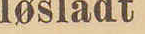løsladt
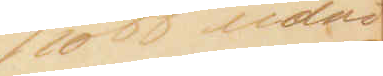26/10 88 udvi¬
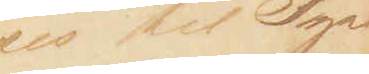ses til Tysk¬
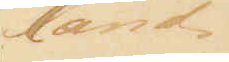land
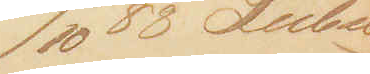17/10 88 Lübec
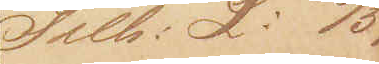Tilh: L: 15/5
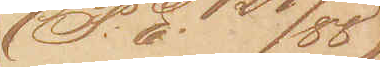(P:E: 127/88)
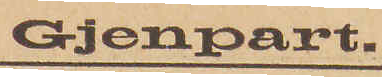Gjenpart.
